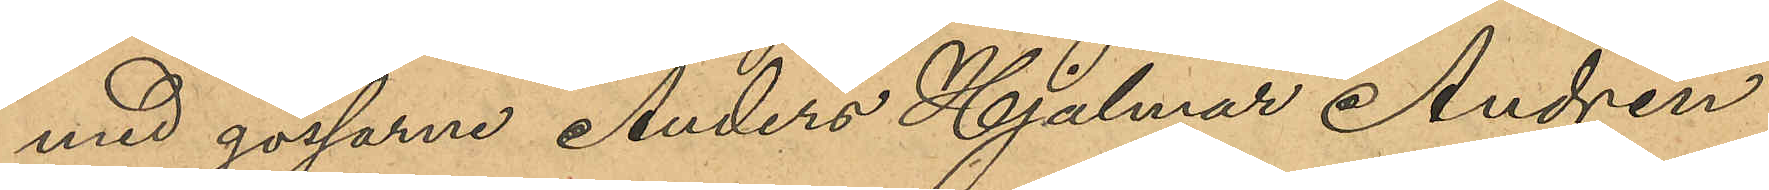med gossarne Anders Hjalmar Andrén
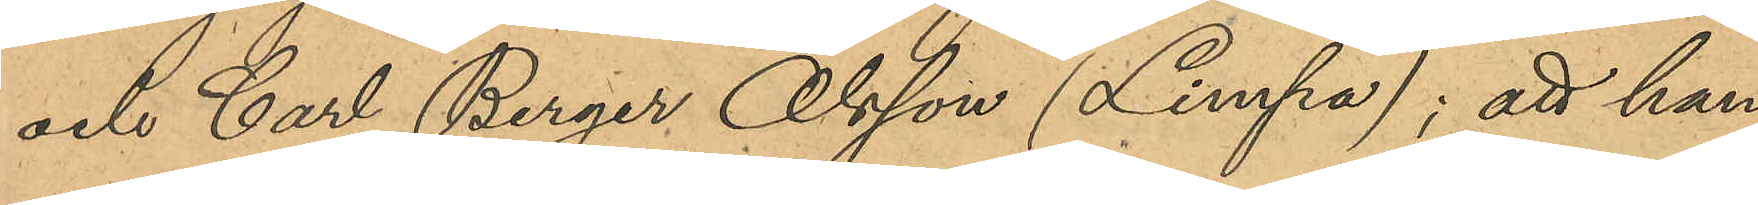och Carl Berger Olsson (Limpa); att han
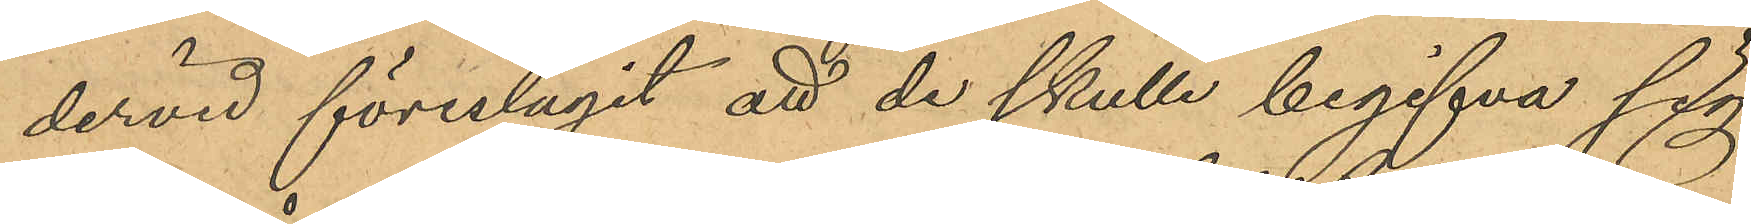dervid föreslagit att de skulle begifva sig
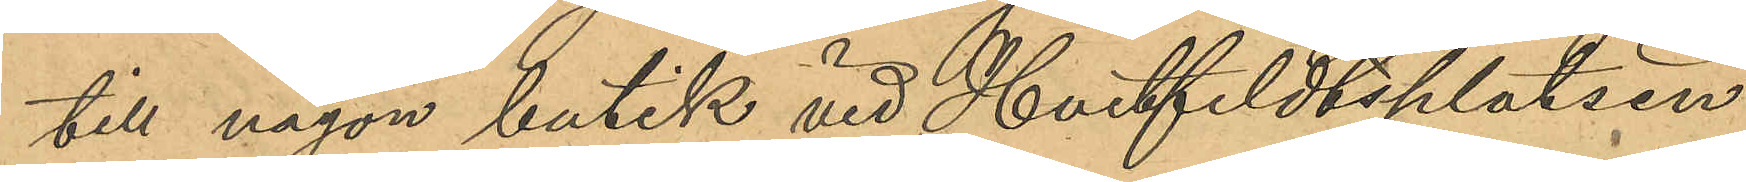till någon butik vid Hvitfeldtsplatsen
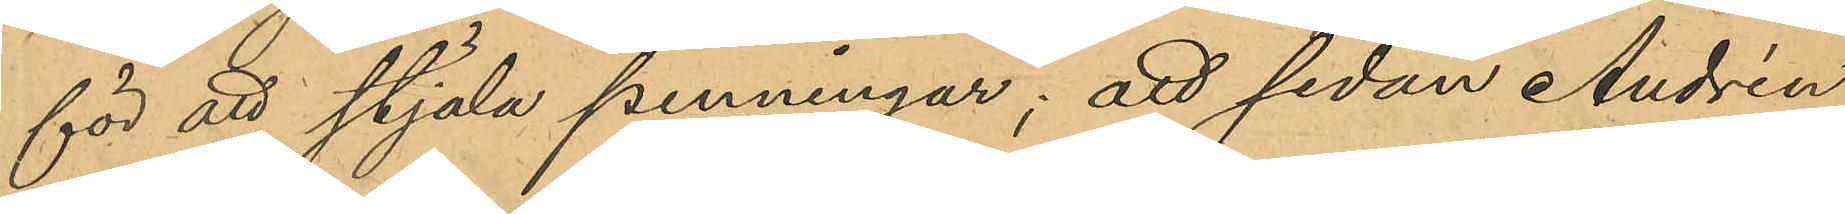för att stjäla penningar; att sedan Andrén
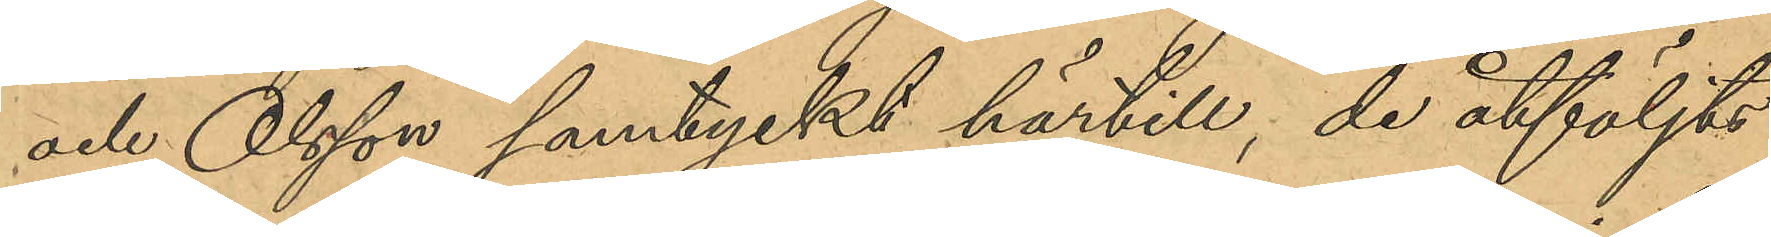och Olsson samtyckt härtill, de åtföljts
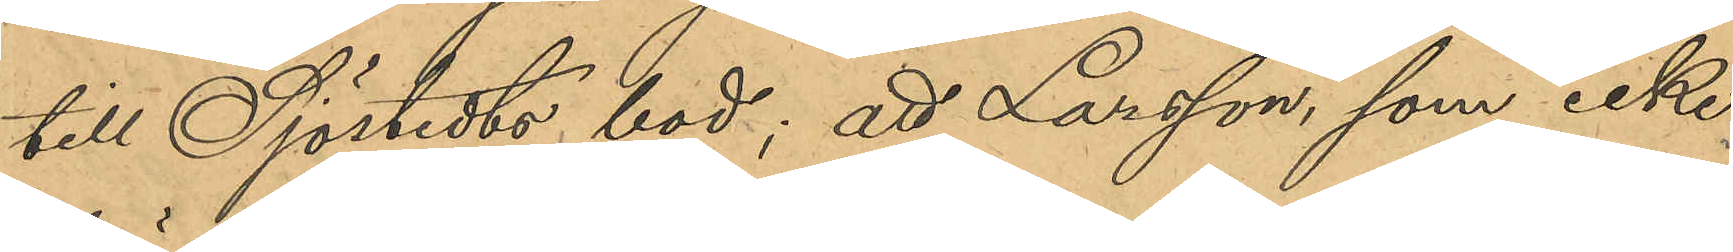till Sjöstedts bod; att Larsson, som icke
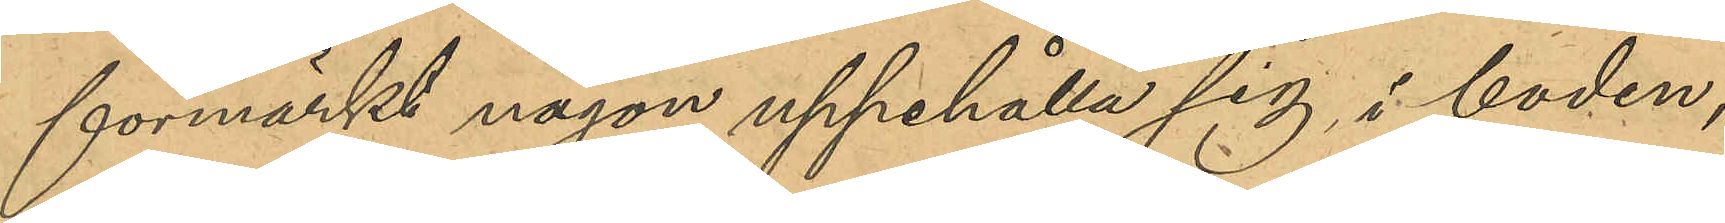förmärkt någon uppehålla sig i boden,
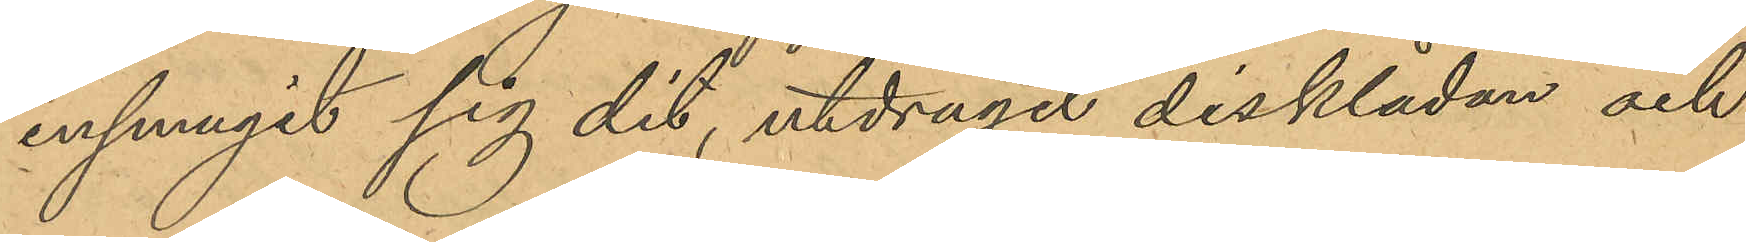insmugit sig dit, utdragit disklådan och
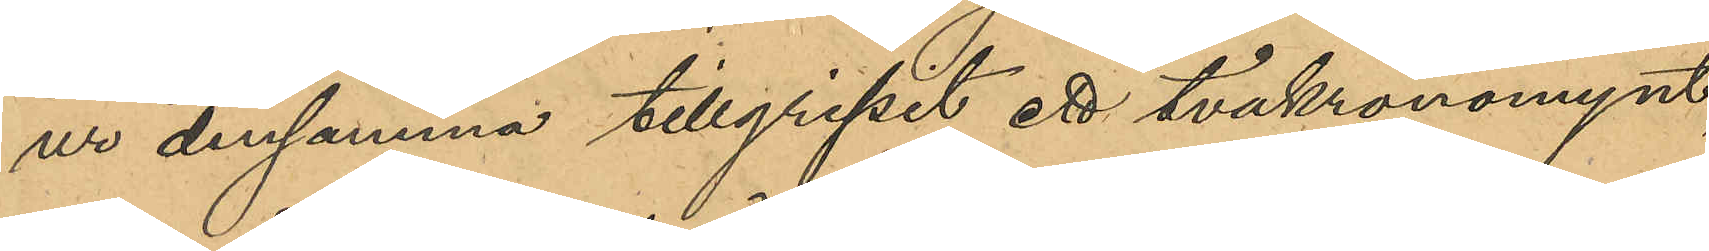ur densamma tillgripit ett tvåkronorsmynt,
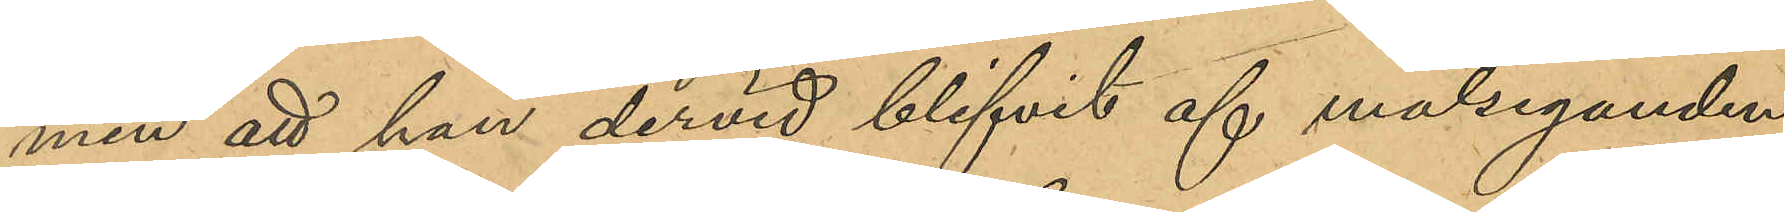men att han dervid blifvit af målseganden
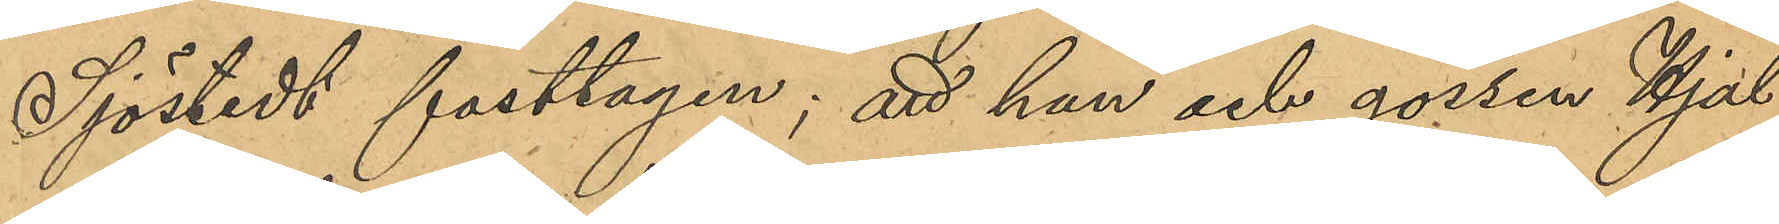Sjöstedt fasttagen; att han och gossen Hjal¬
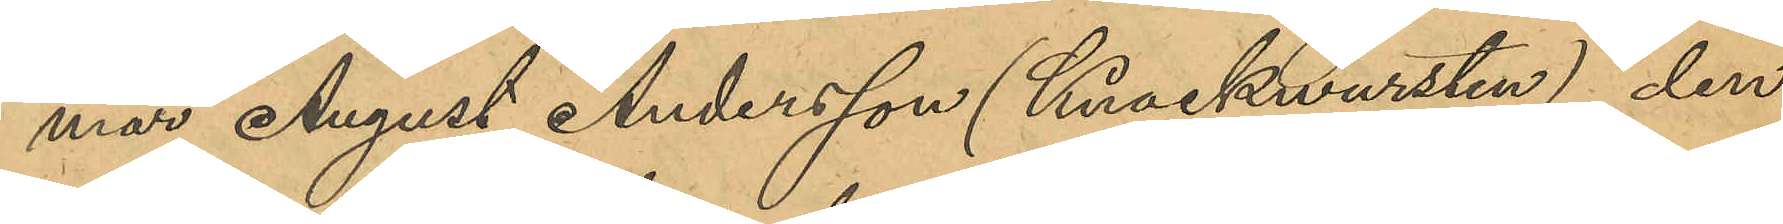mar August Andersson (Knaskwarsten), den
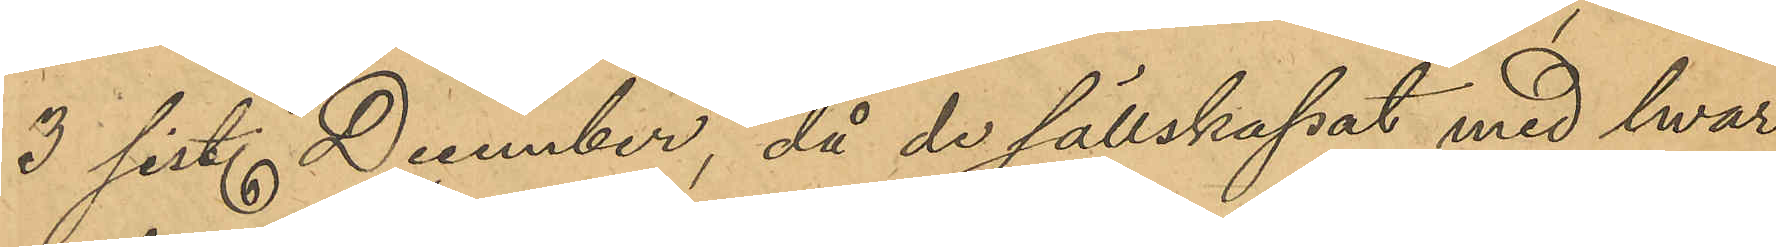3 sist. December, då de sällskapat med hwar¬
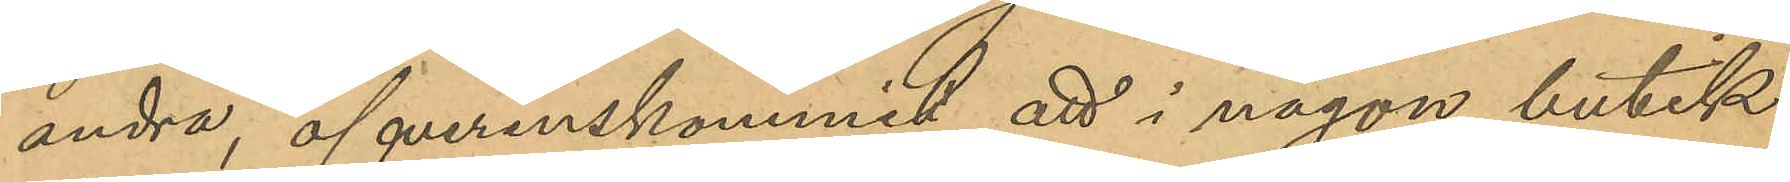andra, öfverenskommit att i någon butik
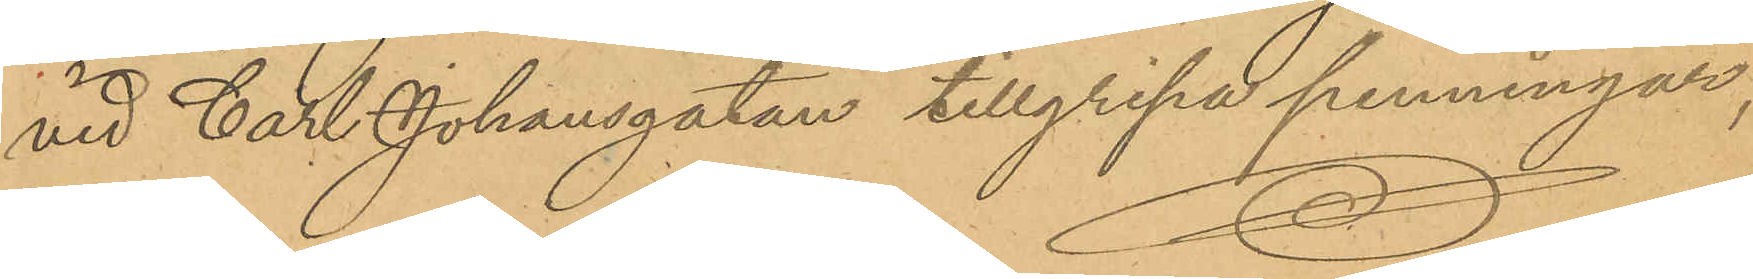vid Carl Johansgatan tillgripa penningar,
